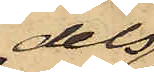dels
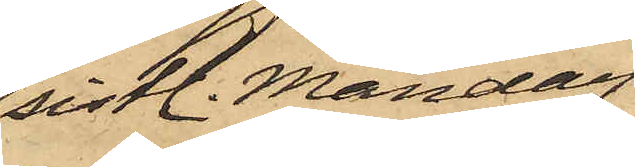sistl. Måndag
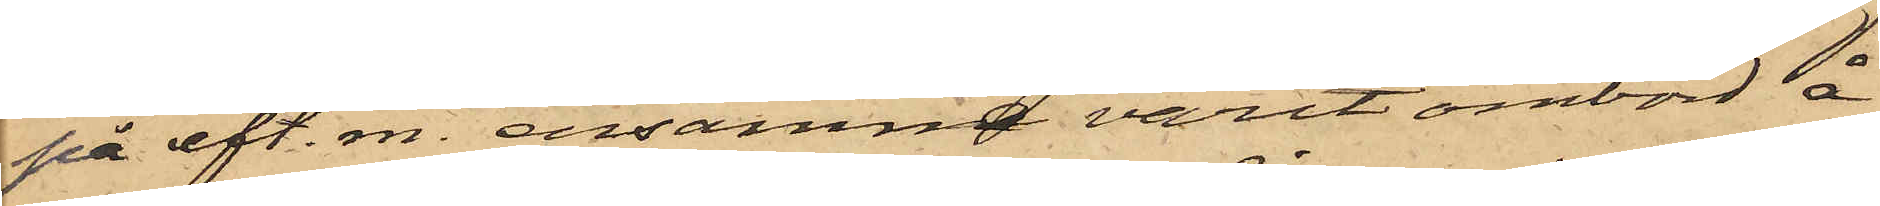på eft. m. ensamma varit ombord å
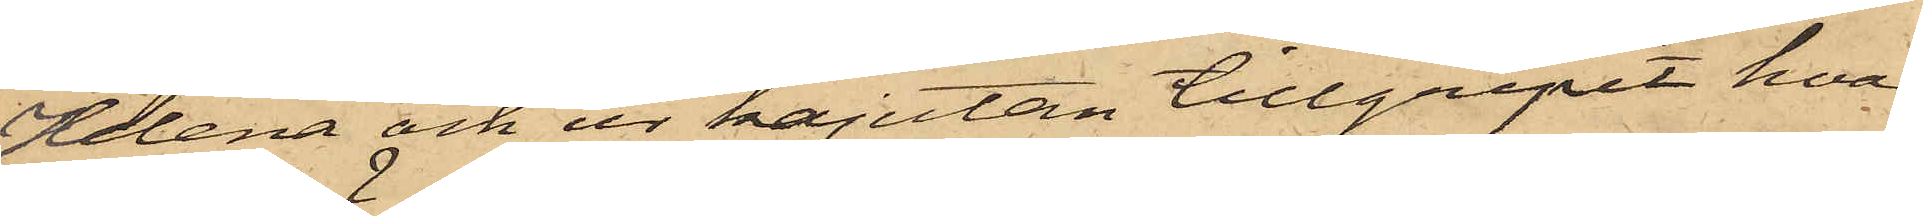Helena och ur kajutan tillgripit hvar
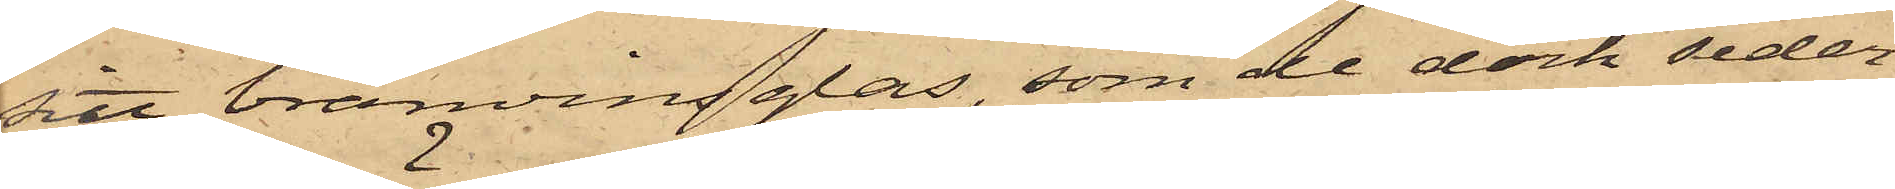sitt bränvingsglas, som de dock seder¬
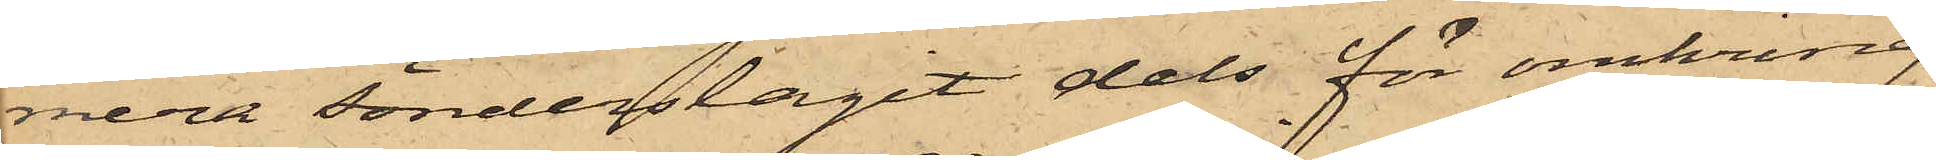mera sönderslagit dels för omkring
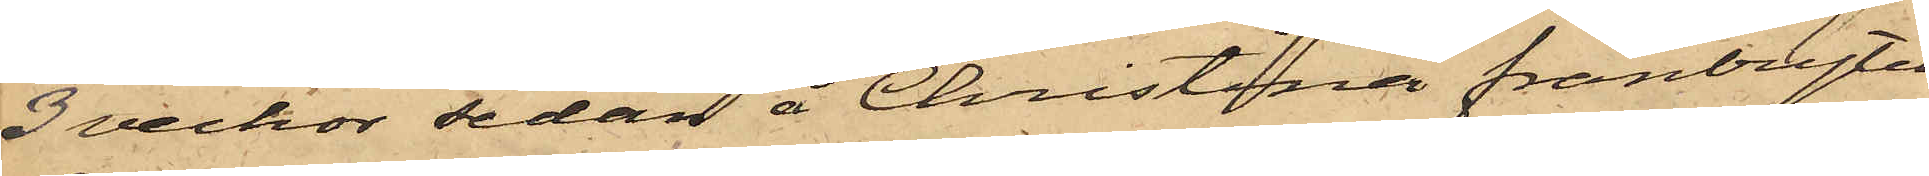3 veckor sedan å Christina frånbrytit
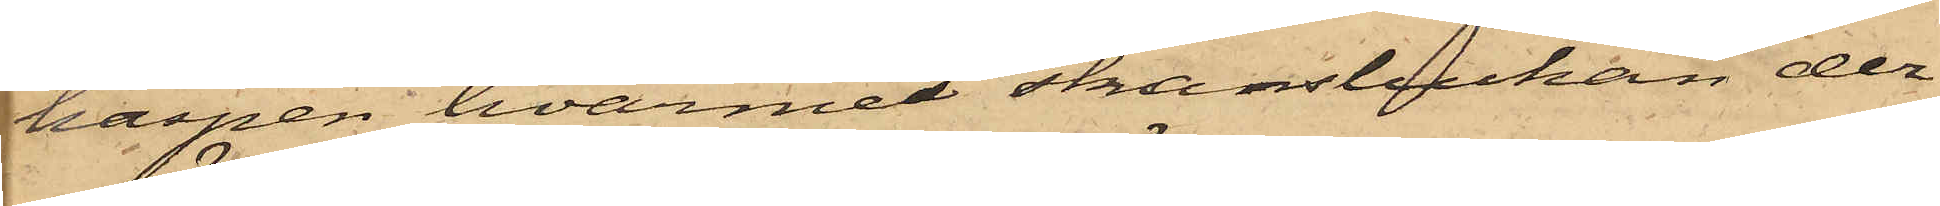haspen, hvarmed skansluckan der¬
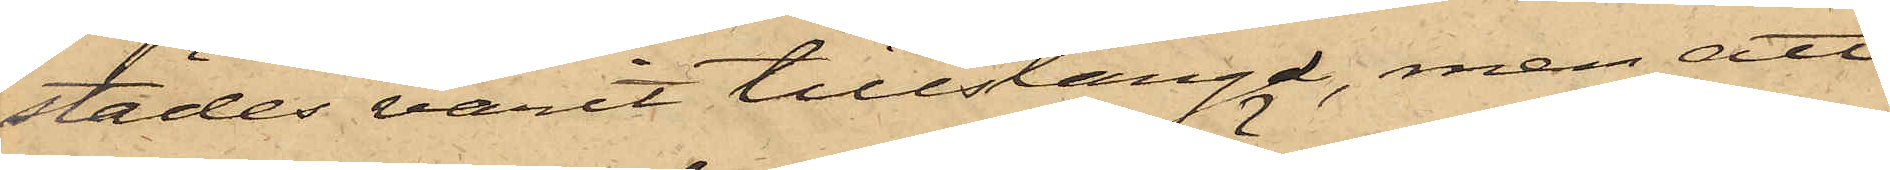städes varit tillstängd, men att
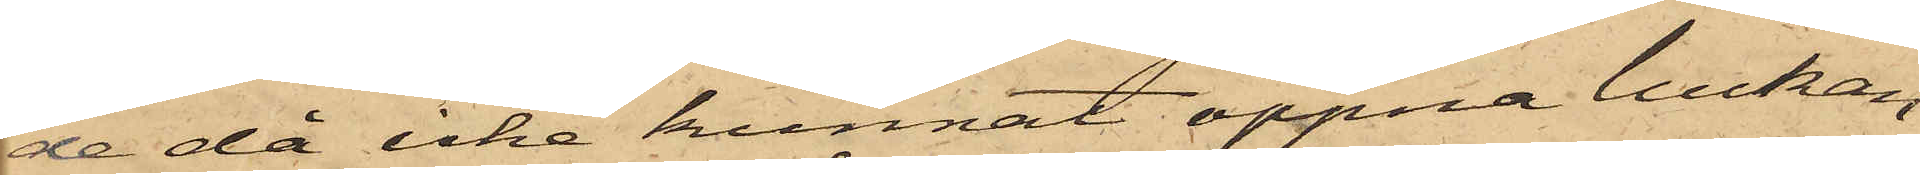de då icke kunnat öppna luckan,
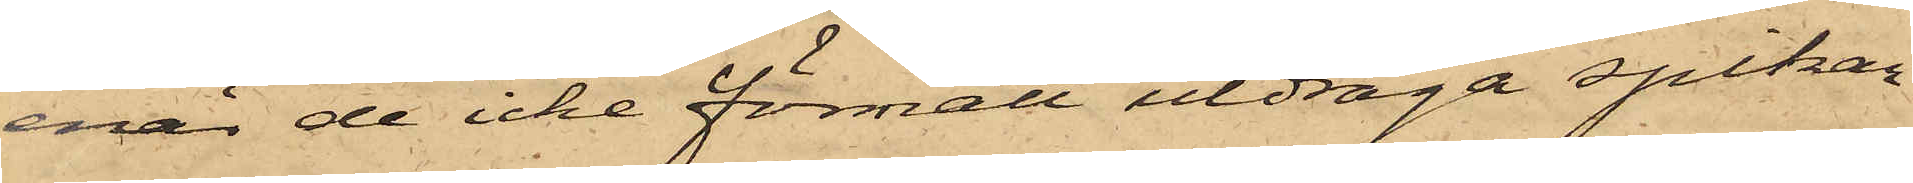enär de icke förmått utdraga spikar¬
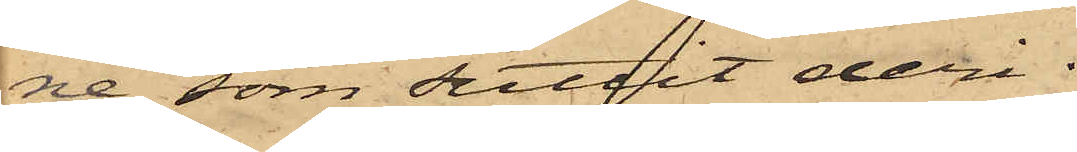ne, som suttit deri.
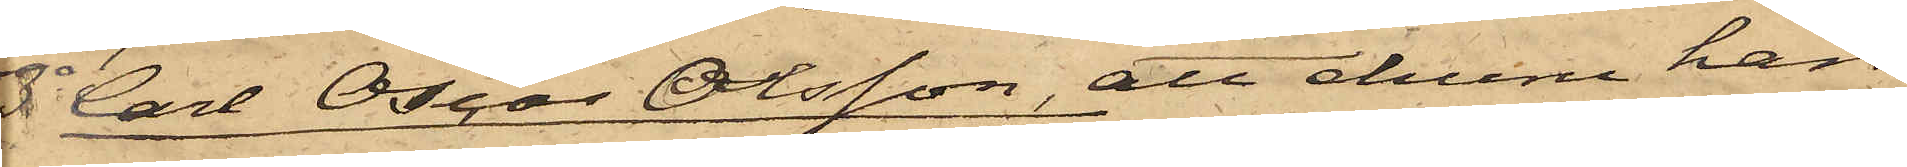 3o Carl Oscar Olsson, att ehuru han
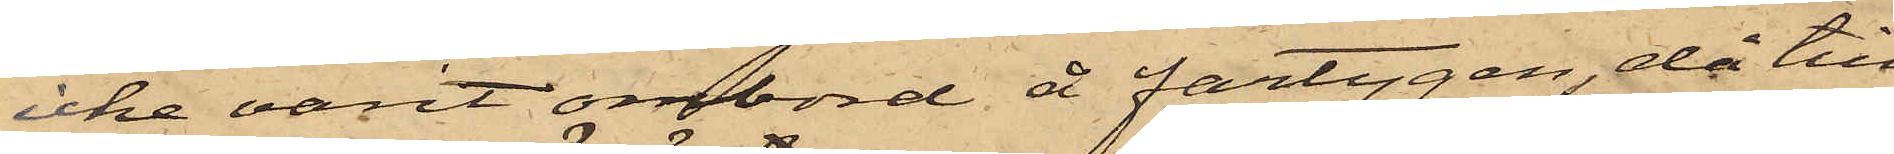icke varit ombord å fartygen, då till¬
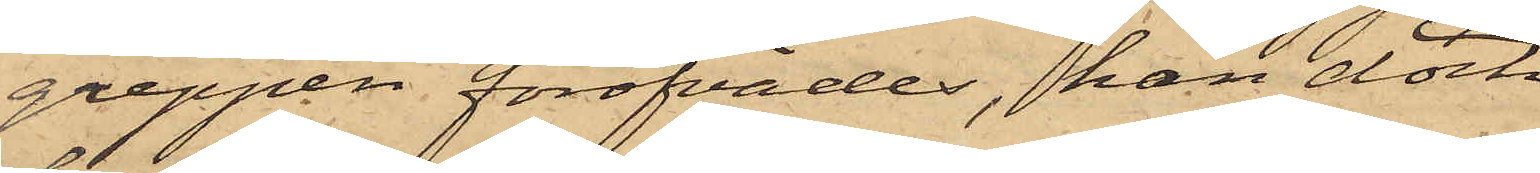greppen föröfvades, han dock
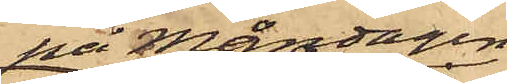på Måndagen
